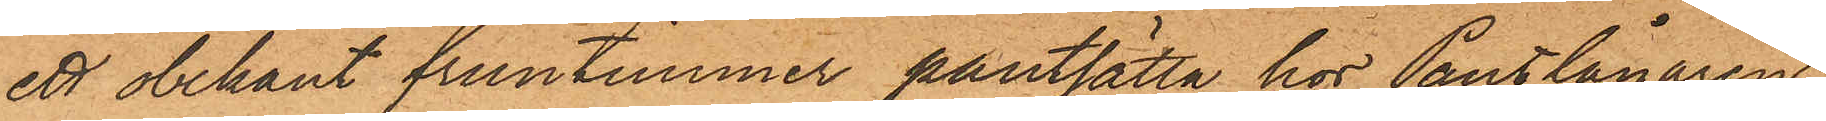ett obekant fruntimmer pantsätta hos Pantlånaren
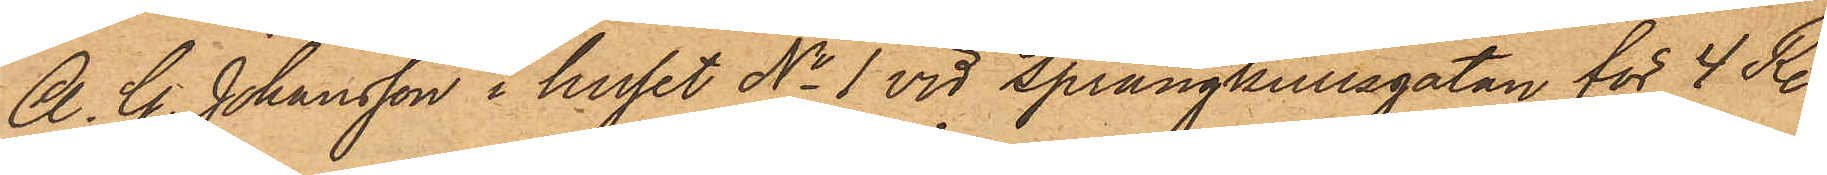A. G. Johansson i huset No 1 vid Sprängkullsgatan för 4 Rdr,
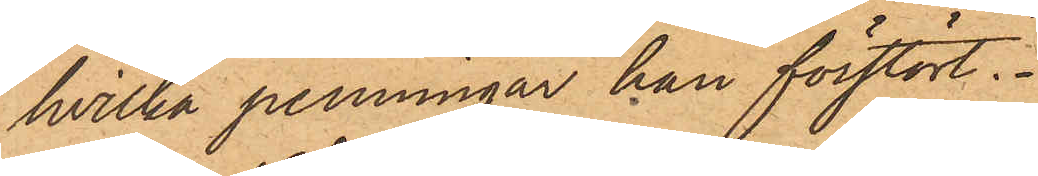hvilka penningar han förstört.
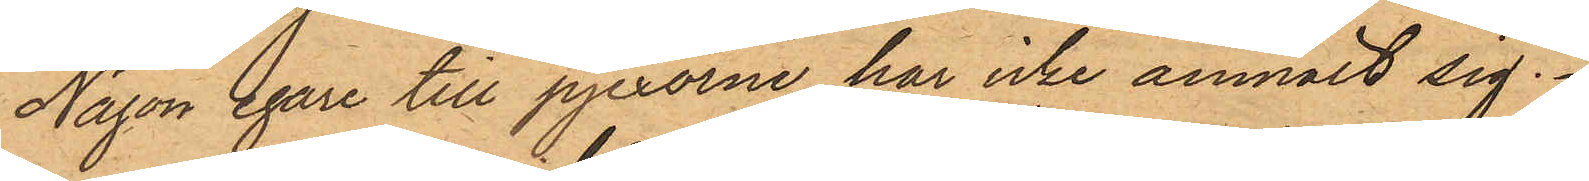Någon egare till pjexorne har icke anmält sig.
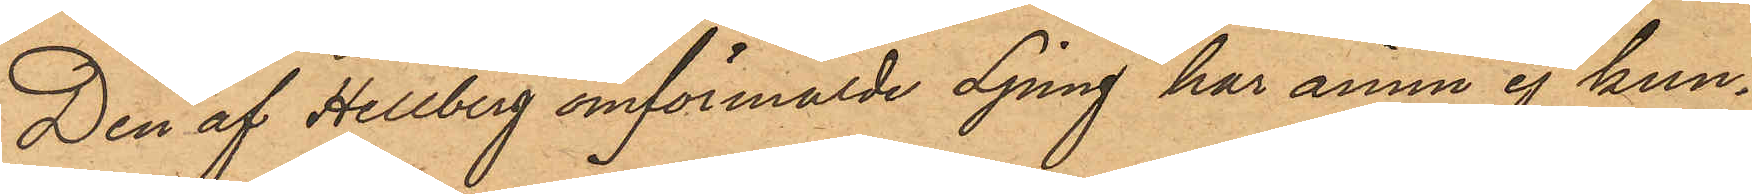Den af Hellberg omförmälde Ljung har ännu ej kun¬
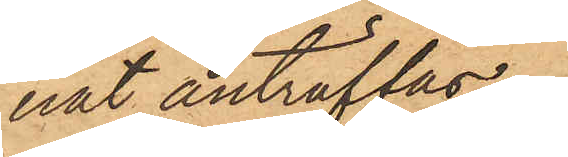nat anträffas.
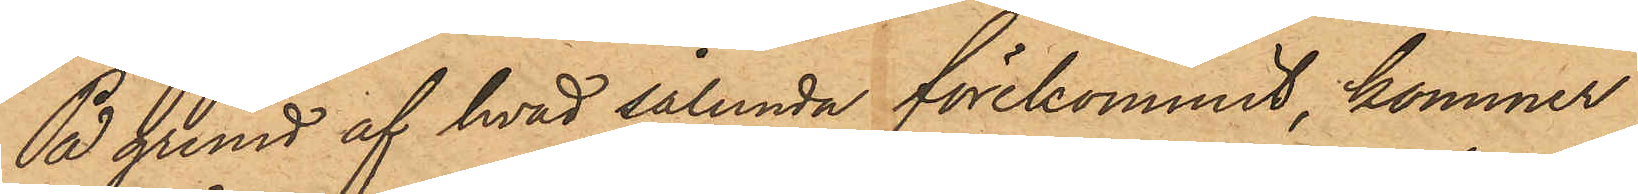På grund af hvad sålunda förekommit, kommer
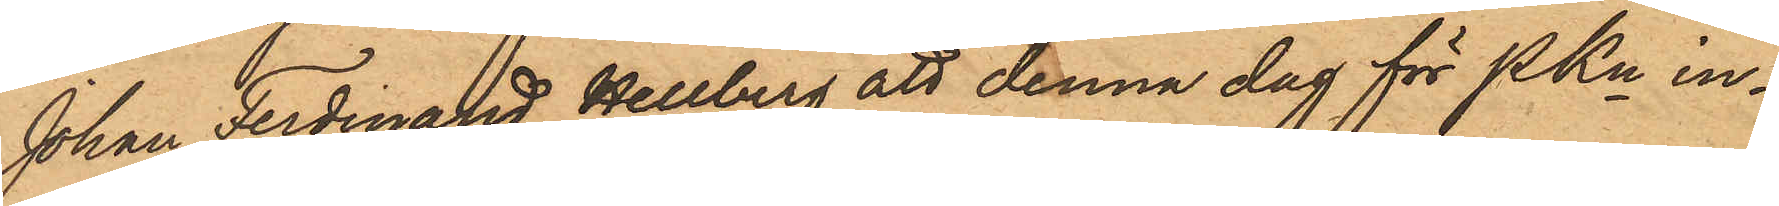Johan Ferdinand Hellberg att denna dag för PKn in¬
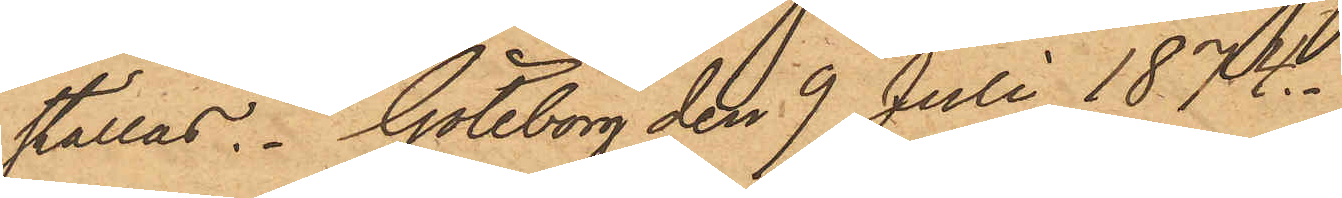ställas. Göteborg den 9 Juli 1874.
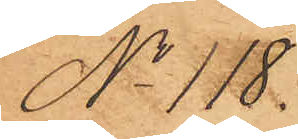No 118.
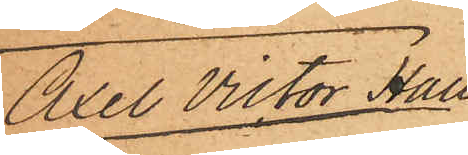Axel Victor Hall¬
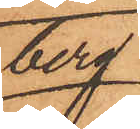berg.
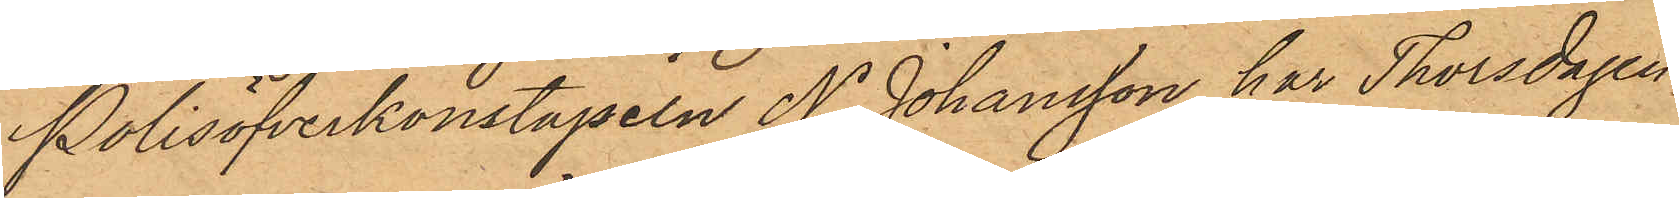Polisöfverkonstapeln N. Johansson har Thorsdagen,
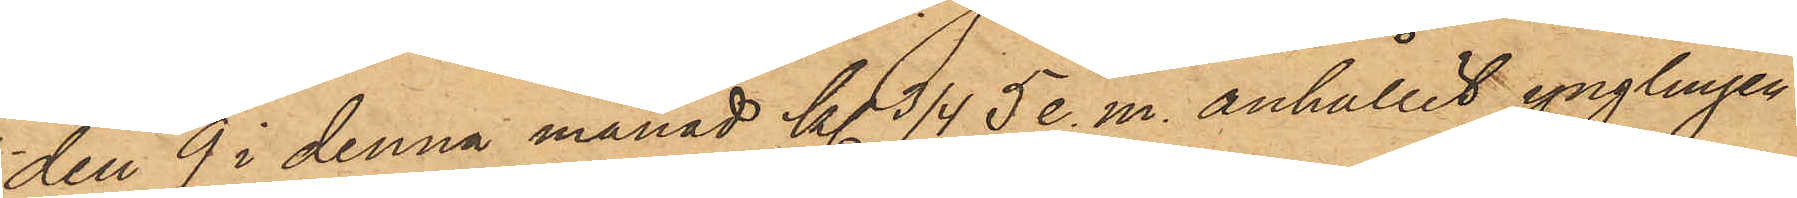den 9 i denna månad kl. 3 /4 5 e. m. anhållit ynglingen
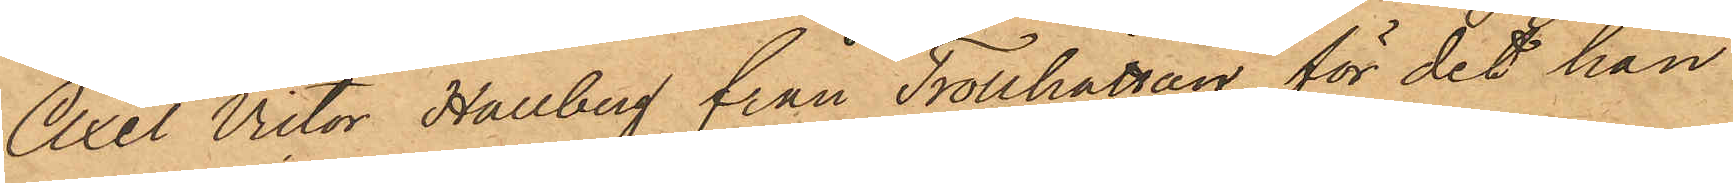Axel Victor Hallberg från Trollhättan, för det han
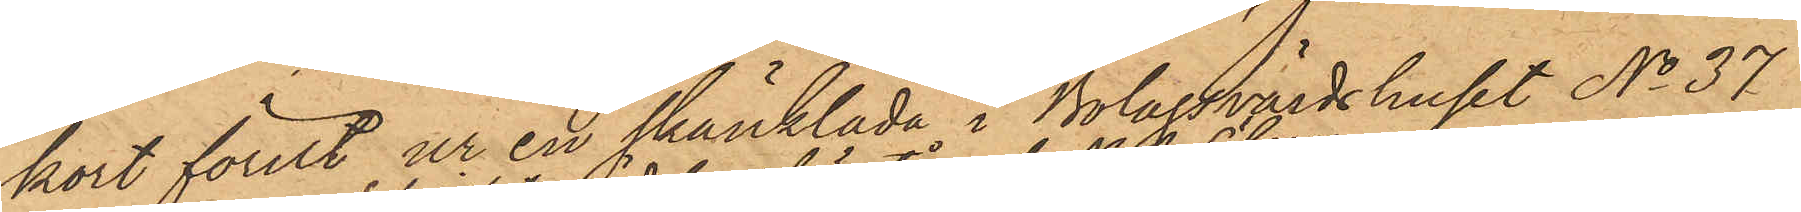kort förut ur en skänklåda i Bolagsvärdshuset No 37
